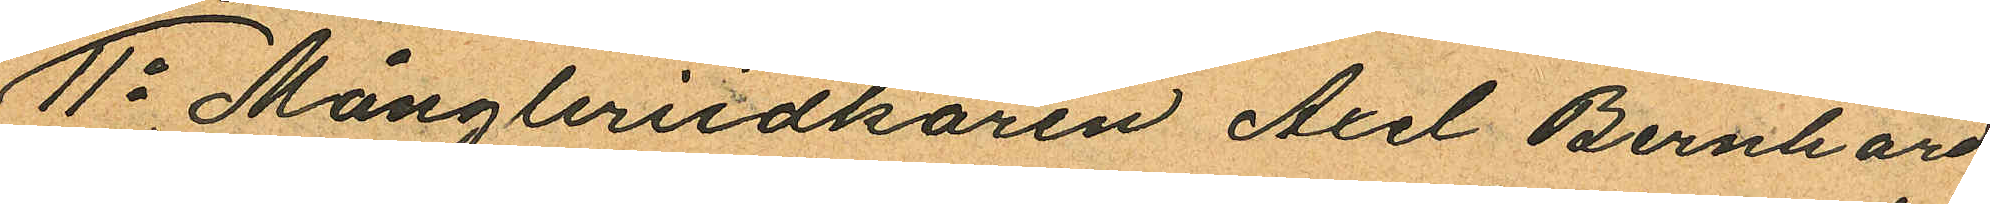11o Mångleriidkaren Axel Bernhard
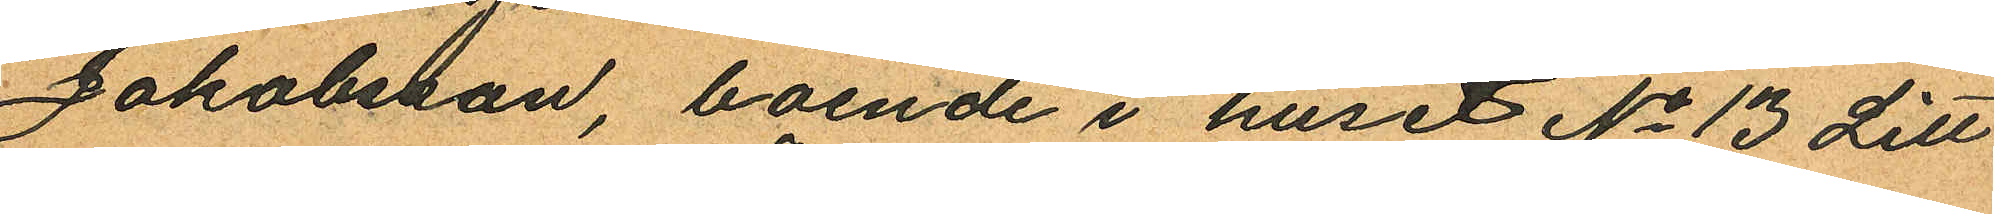Jakobsson, boende i huset No 13 Litt
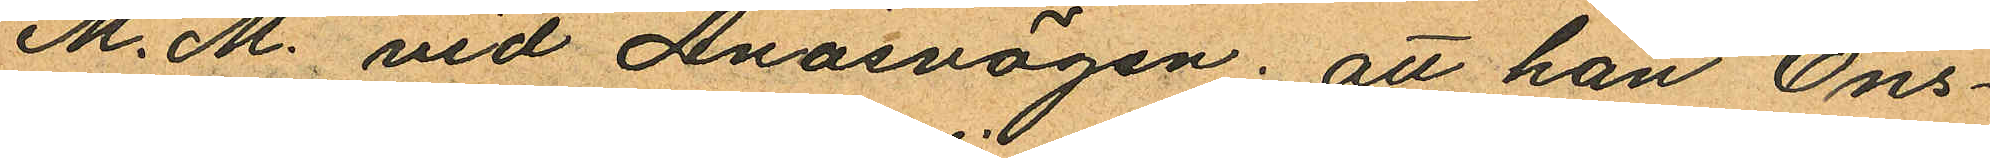M. M. vid Ånäsvägen; att han Ons¬
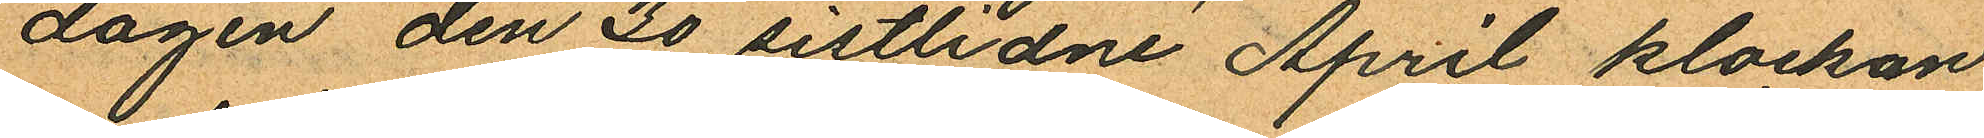dagen den 30 sistlidne April klockan
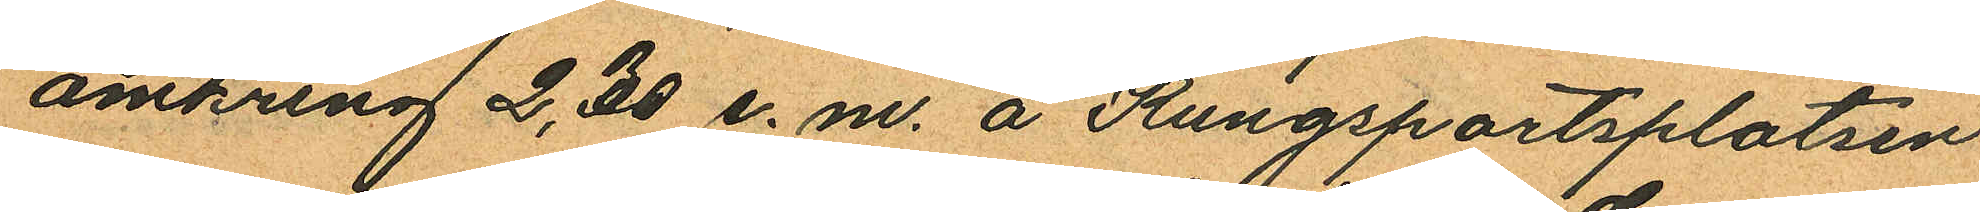omkring 2,30 e.m. å Kungsportsplatsen
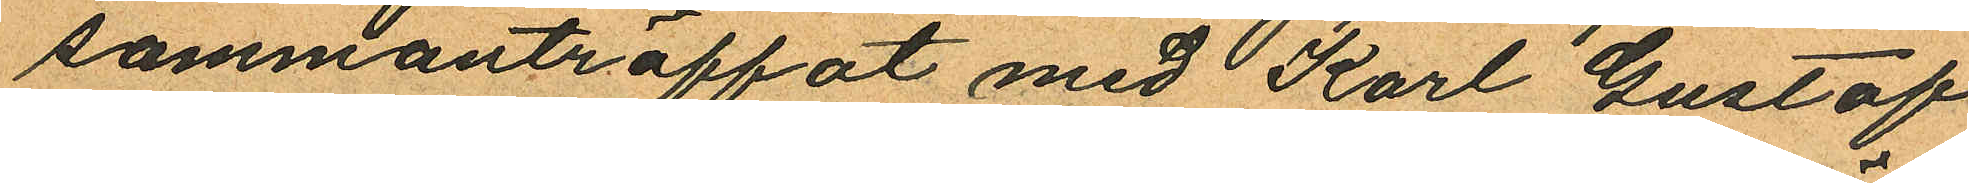sammanträffat med Karl Gustaf
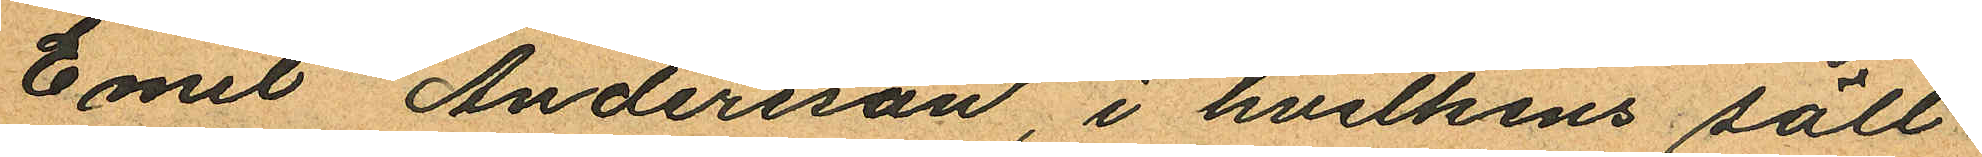Emil Andersson, i hvilkens säll¬
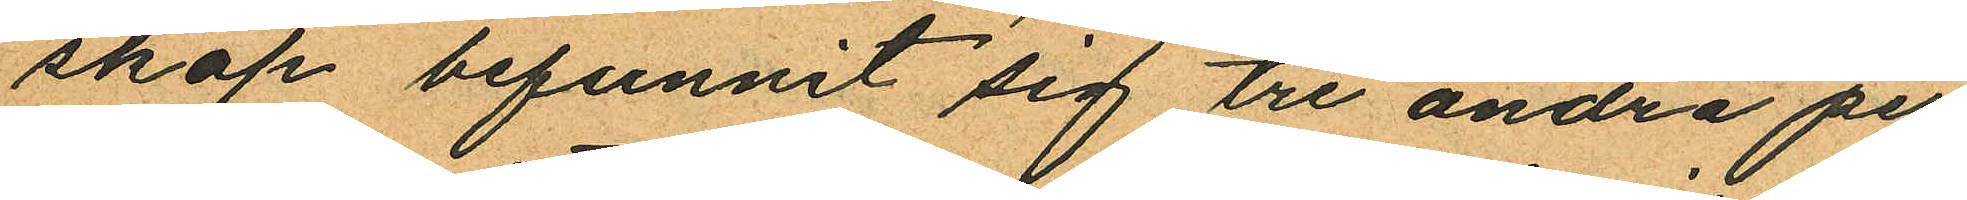skap befunnit sig tre andra per
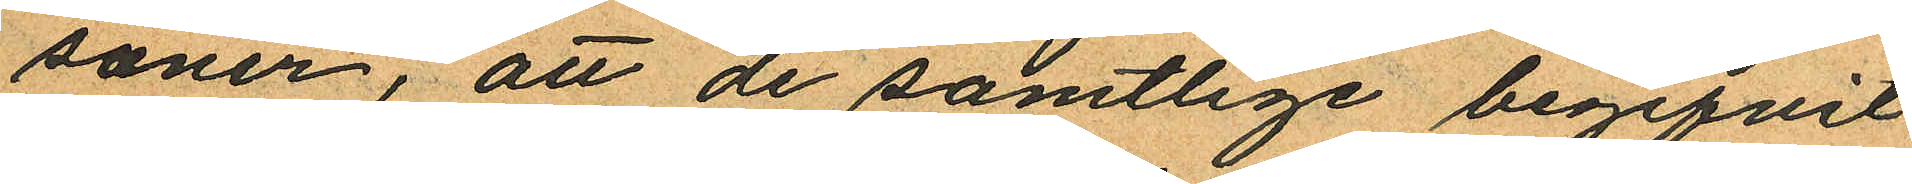soner, att de samtlige begifvit
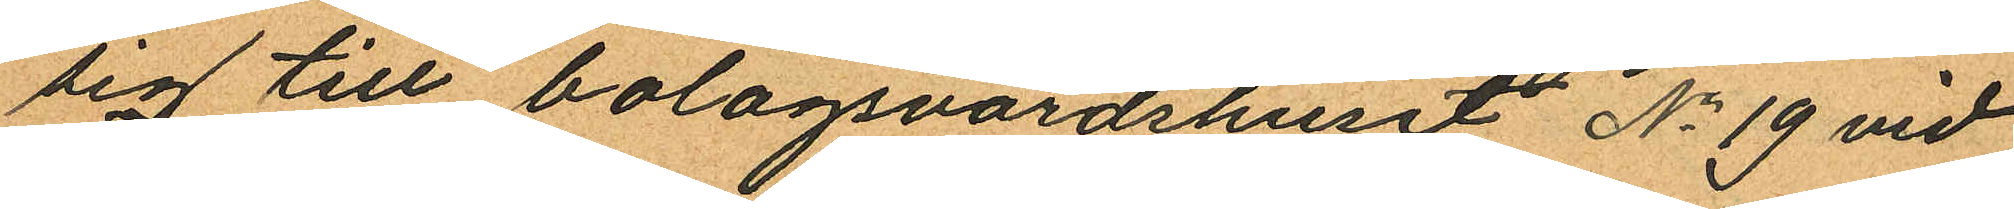sig till bolagsvärdshuset No 19 vid
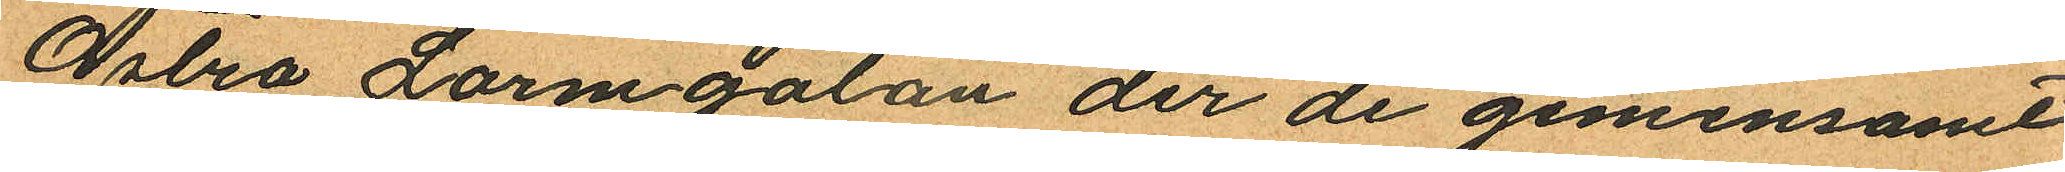Östra Larmgatan der de gemensamt
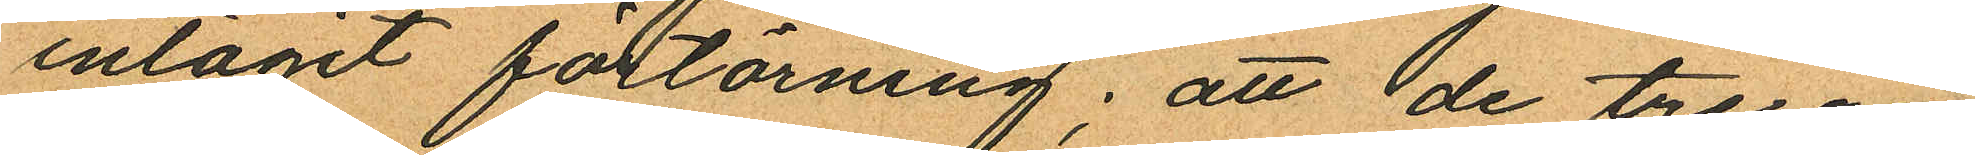intagit förtärning; att de tre an¬
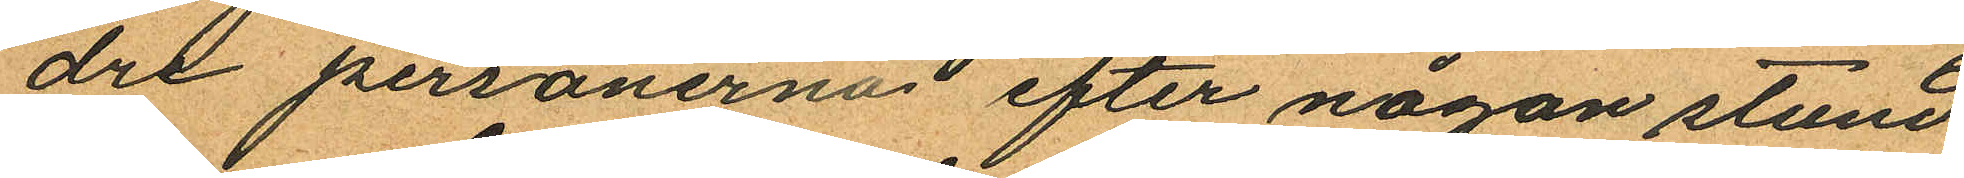dre personerna efter någon stund
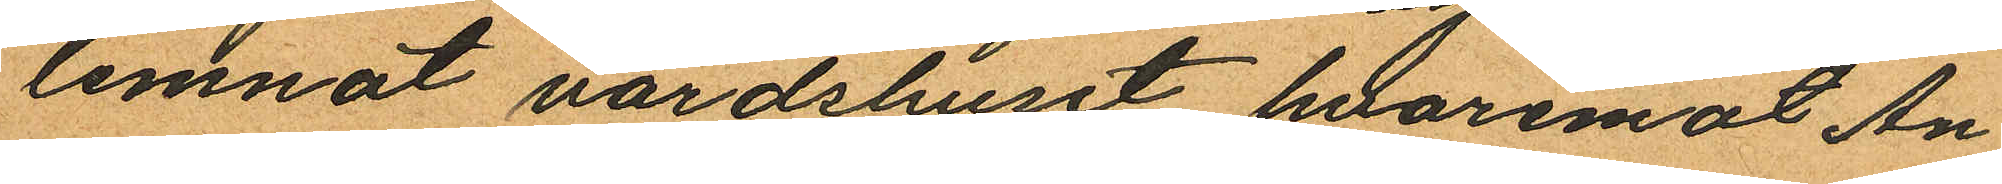lemnat värdshuset hvaremot An¬
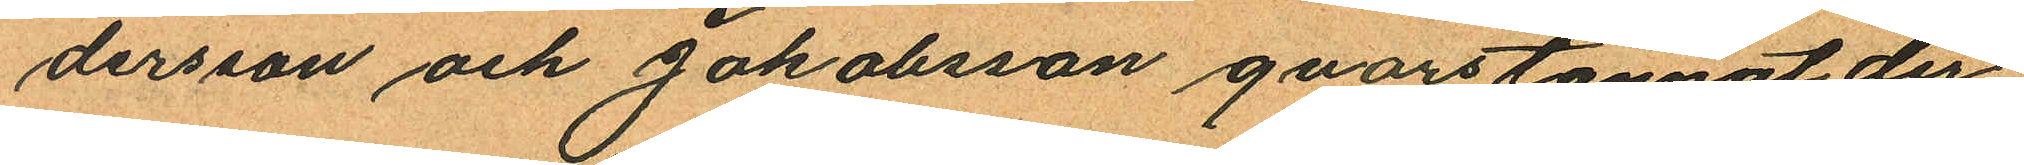dersson och Jakobsson qvarstannat der
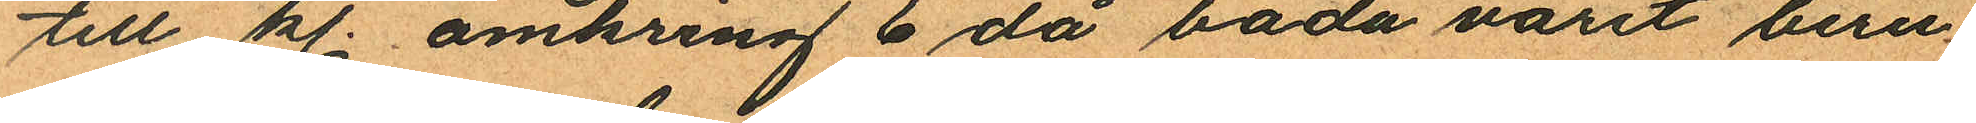till kl. omkring 6 då båda varit beru
